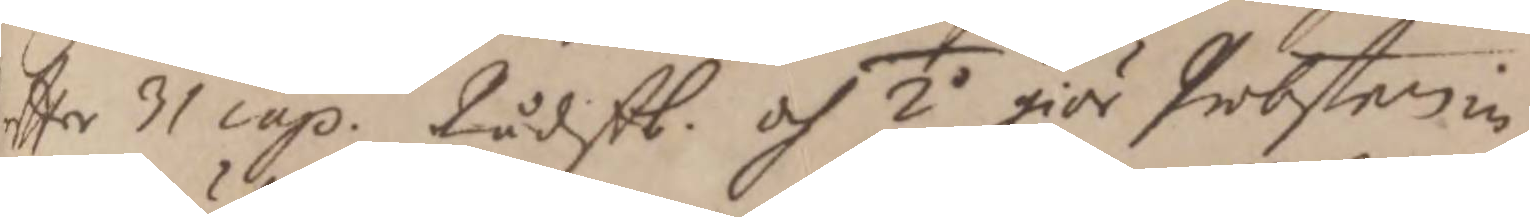 effter 31 cap. Rådstb. och 2o giör Probsten in¬
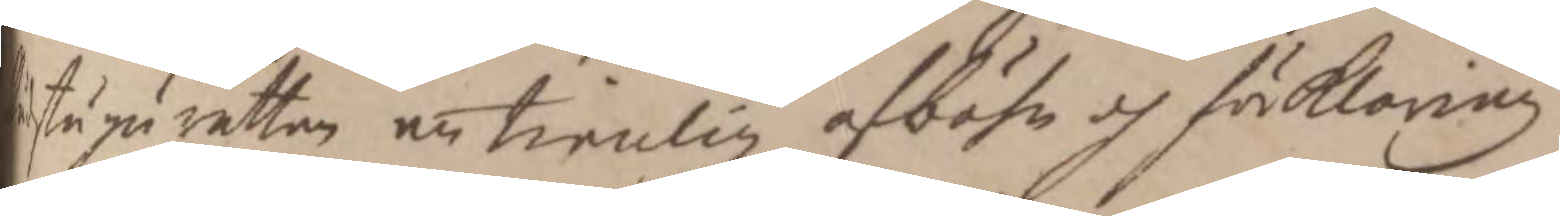Rådstugurättan en tienlig afböhn och förklaring
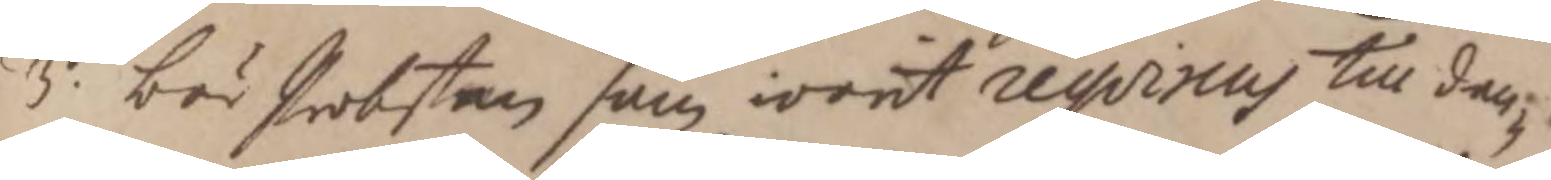3o. bör Probsten som warit reqvirens till den¬
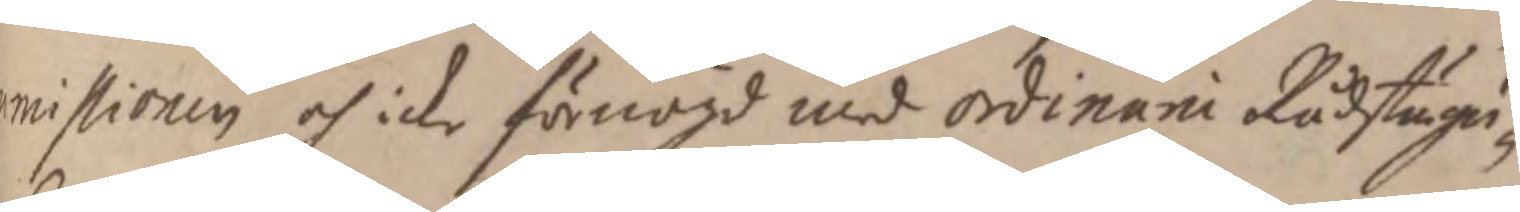 missionen och icke förnögd med Ordinarii Rådstugu¬
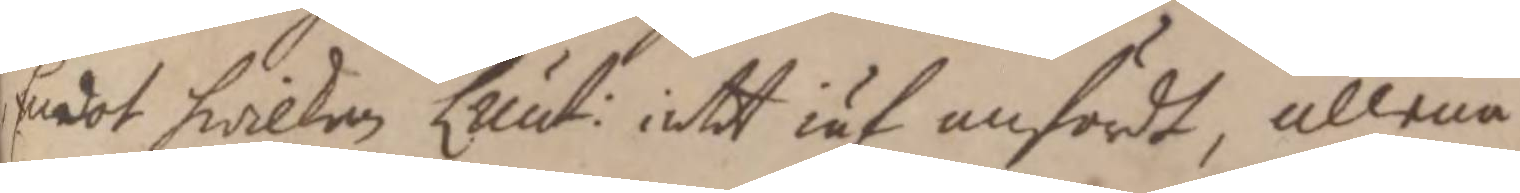 Emot hwilken Lieut: intet iäf anfördt, allena
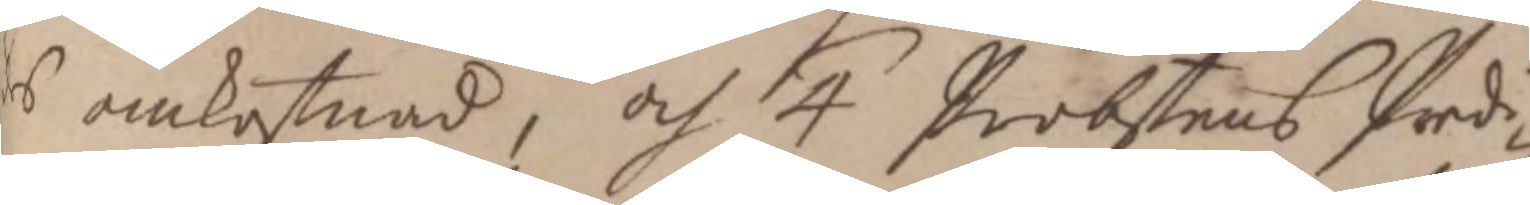des omkostnad, och 4 Probstens Predi¬
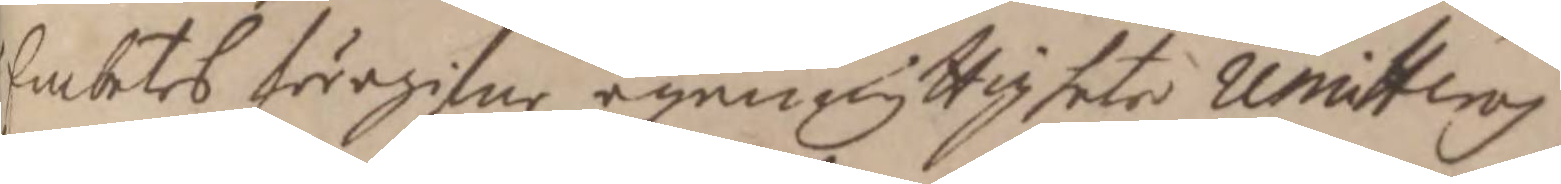 Embetes föregifne egennyttigheter remitteras
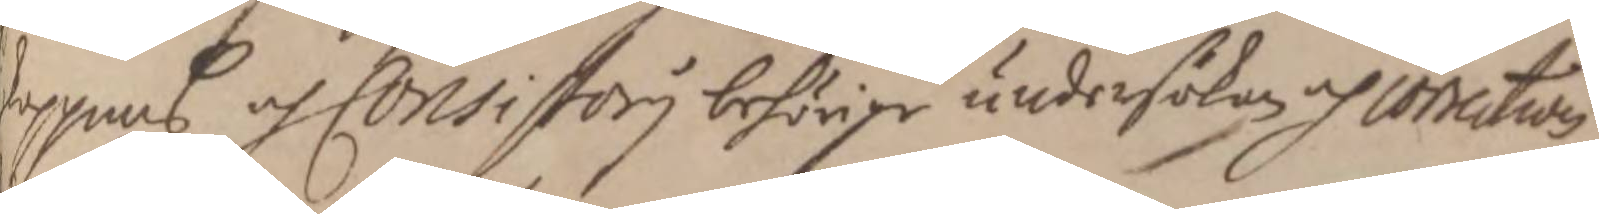skoppens och Consistorij behörige undersökan och correction
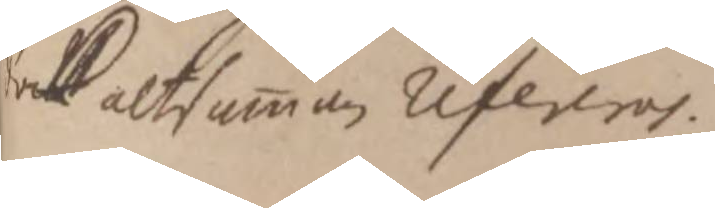dock altsamman refereras.
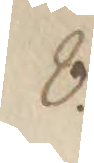8.
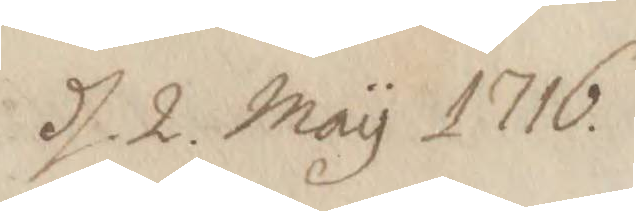d. 2. May 1716.
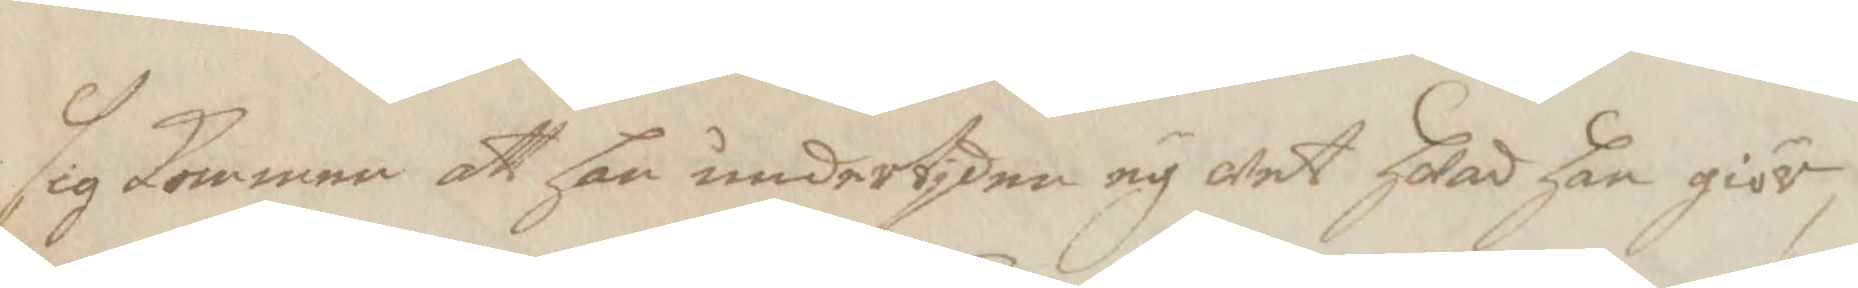sig Kommer att han undertjden ey wet hwad han giör,
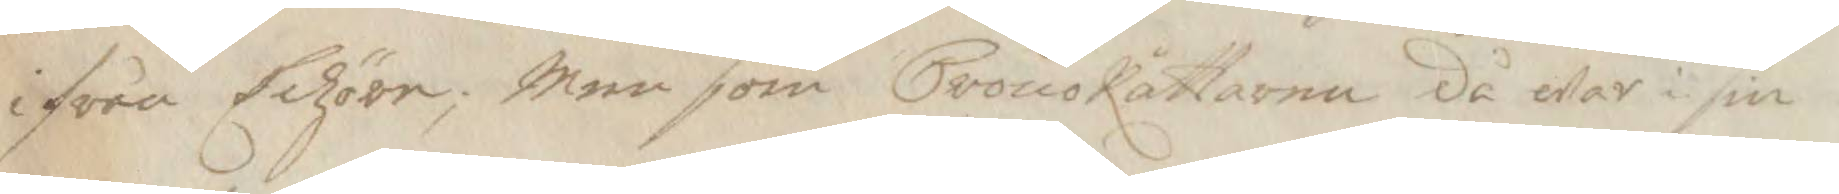ifrån Echöre; Men som CronoRättaren då war i sin
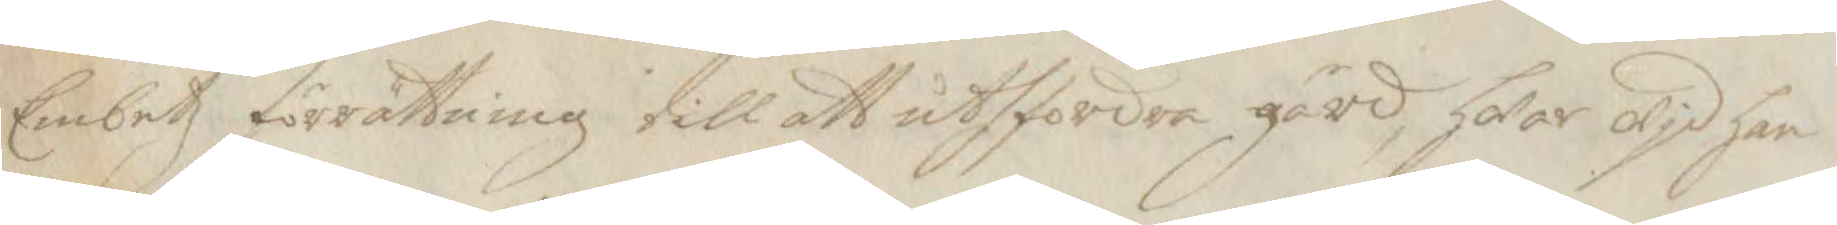Embetz förrättning till att uthfordra gärd, hwar wid han
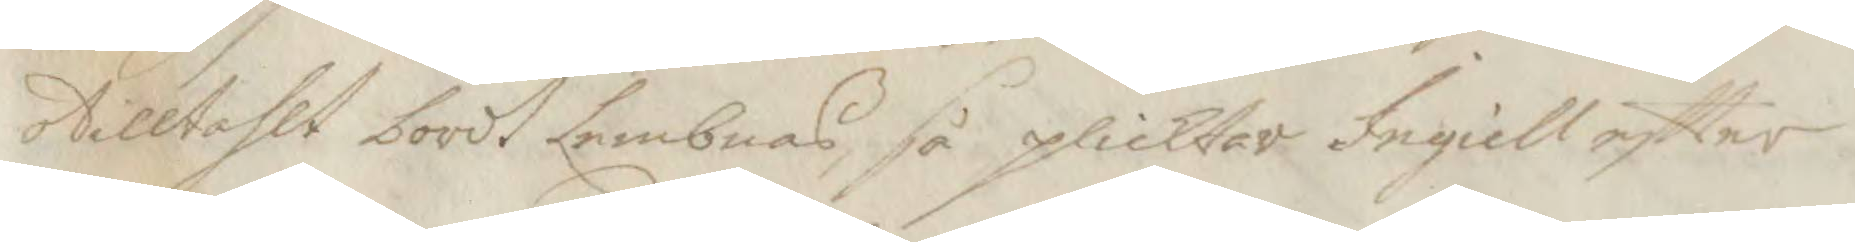otilltahlt bordt Lembnas, så plicktar Ingiell eftter
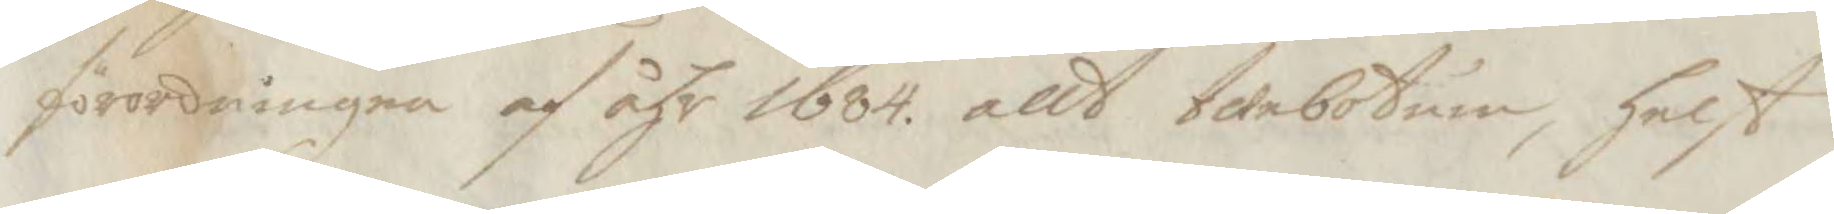förordningen af åhr 1684. allt twebotum, helst
